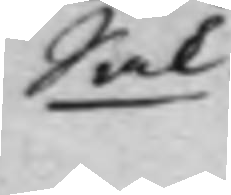Sak.
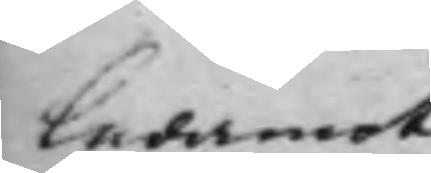Ledamot
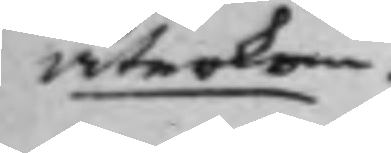återkom.
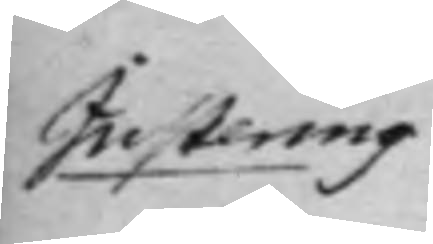Justering
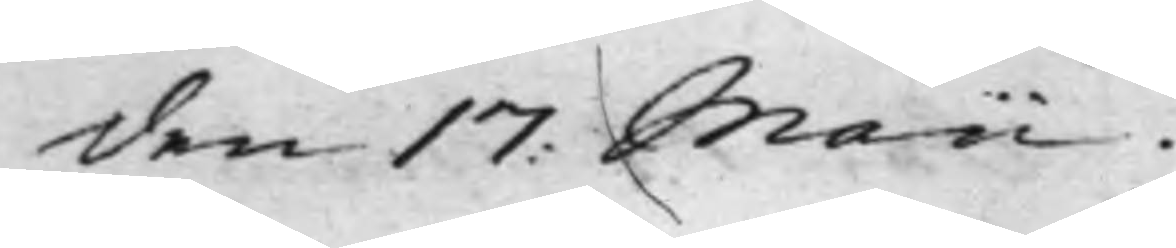den 17: Maii
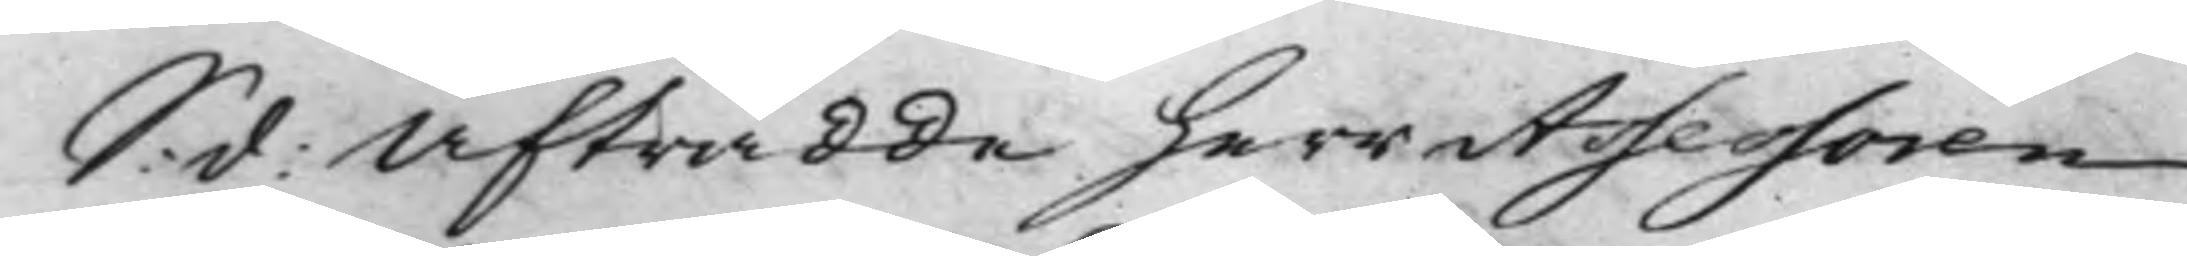S: d: Afträdde herr Assessoren
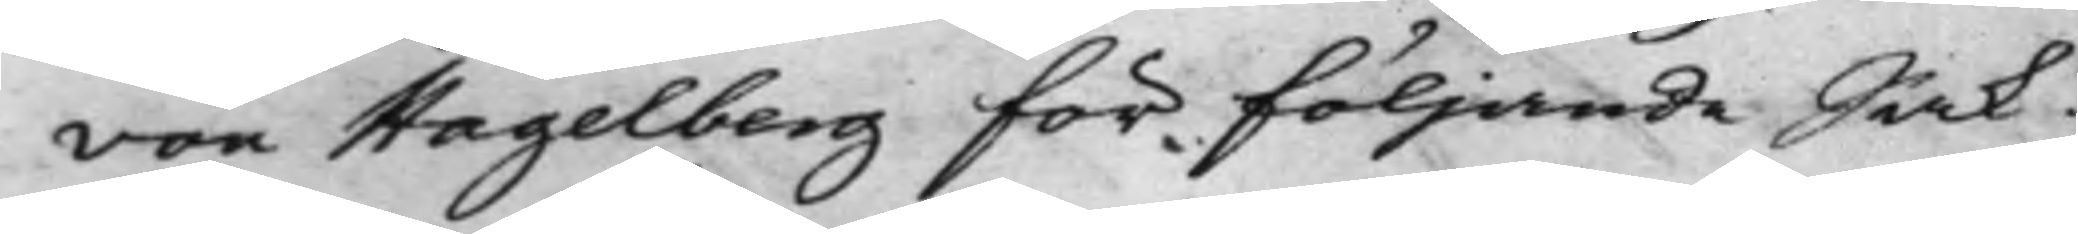von Hagelberg för följande Sak.
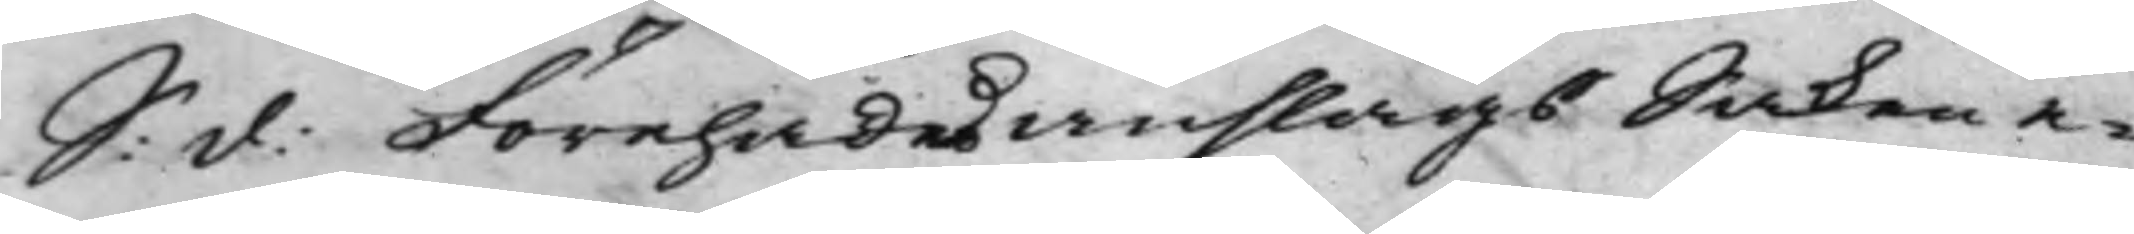S: d: Förehades anslags Saken e¬
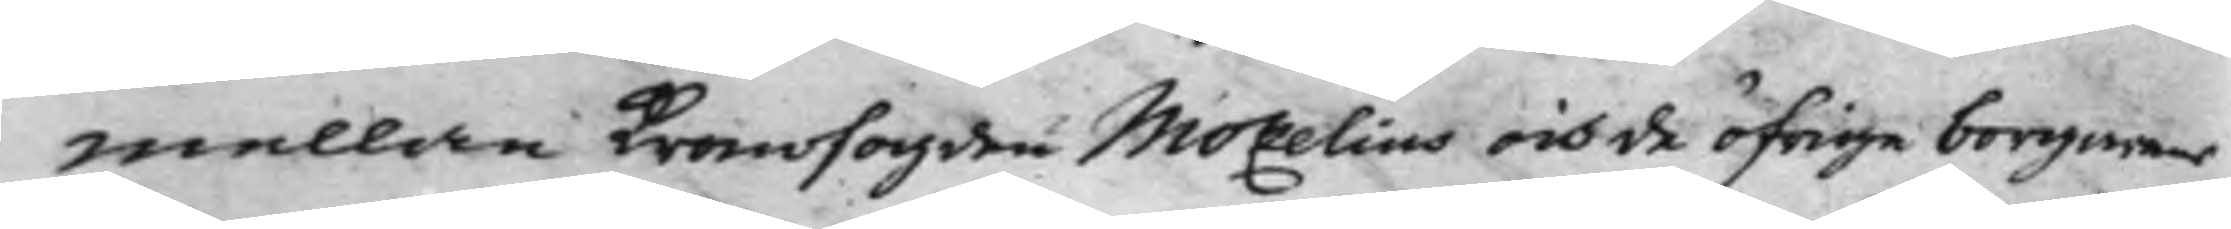mellan Kronofogden Mozelius och de öfrige borgaren
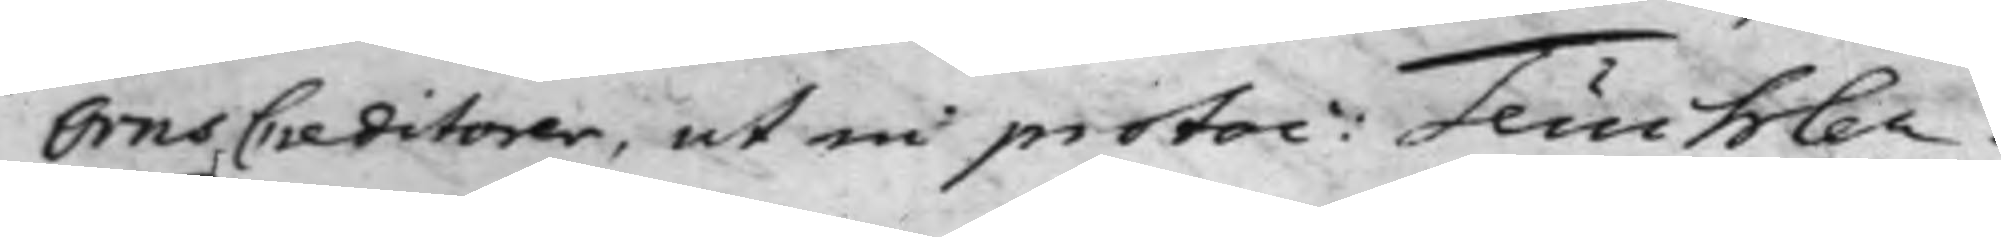Örns Creditorer, ut in protoc: Teuchler.
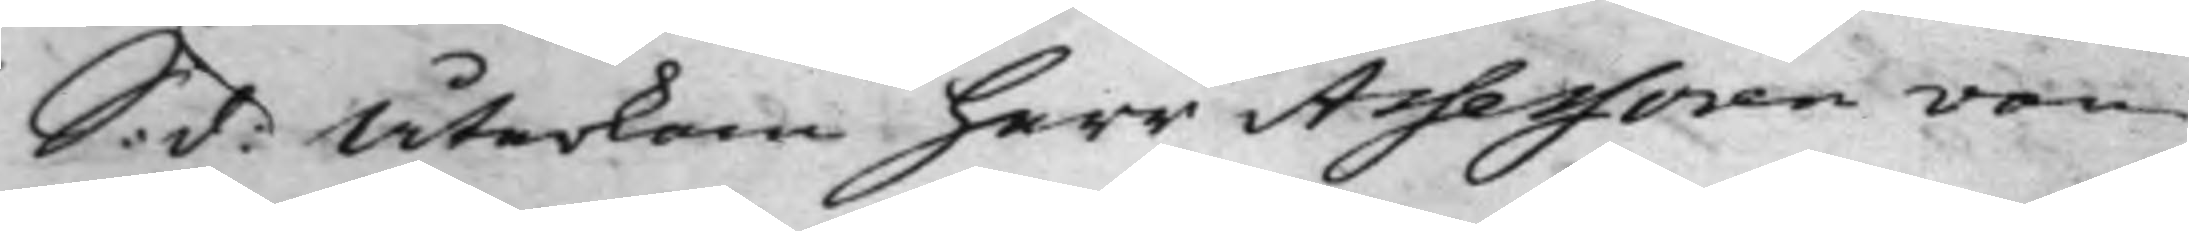S: d: Återkom herr Assessoren von
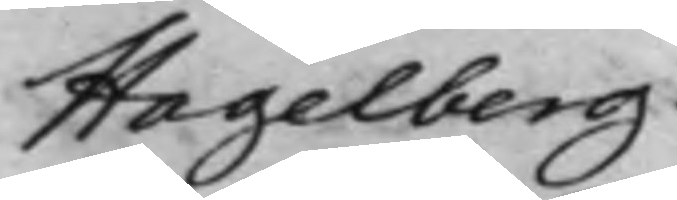Hagelberg.
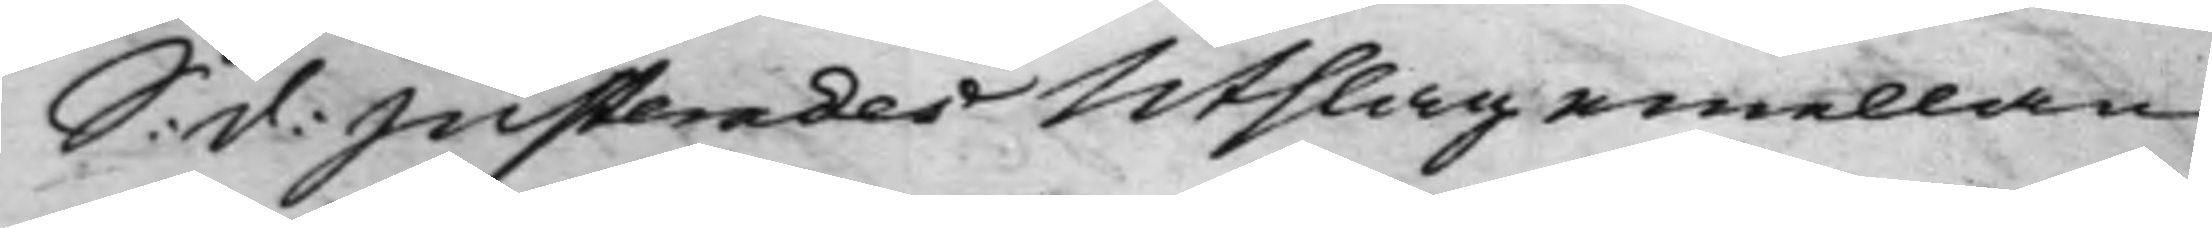S: d: Justerades Utslag emellan
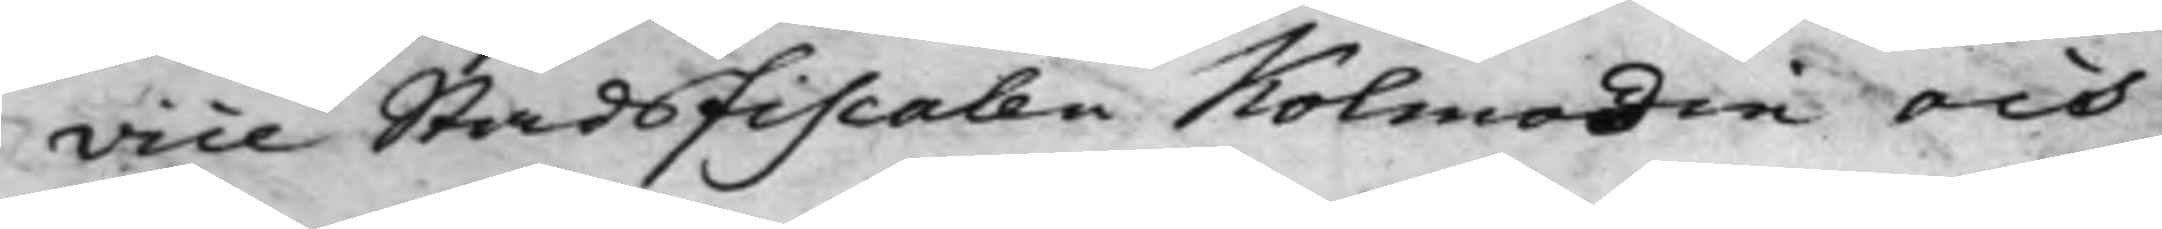Vice Stadsfiscalen Kolmodin och
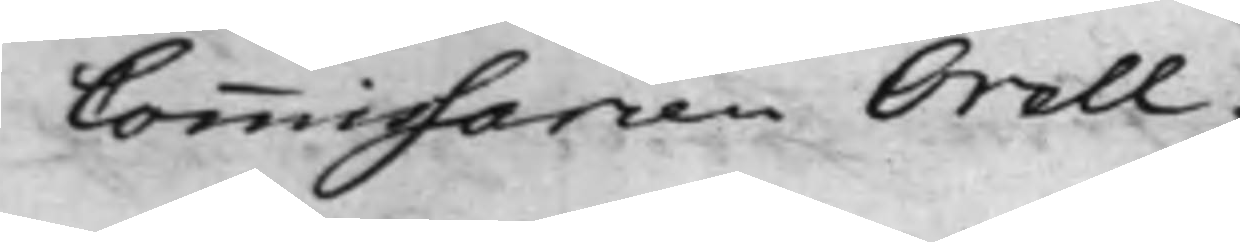Commissarien Orell.
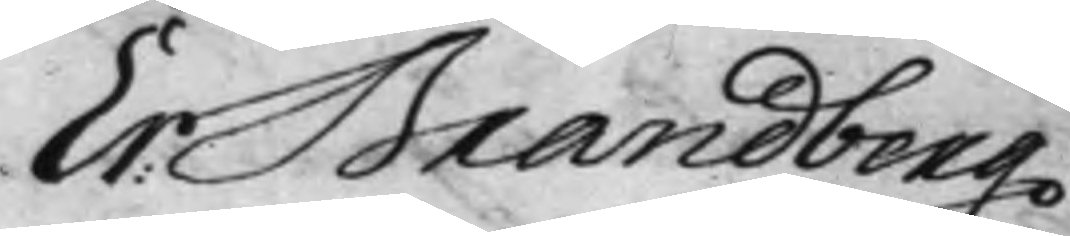Er: Brandberg
